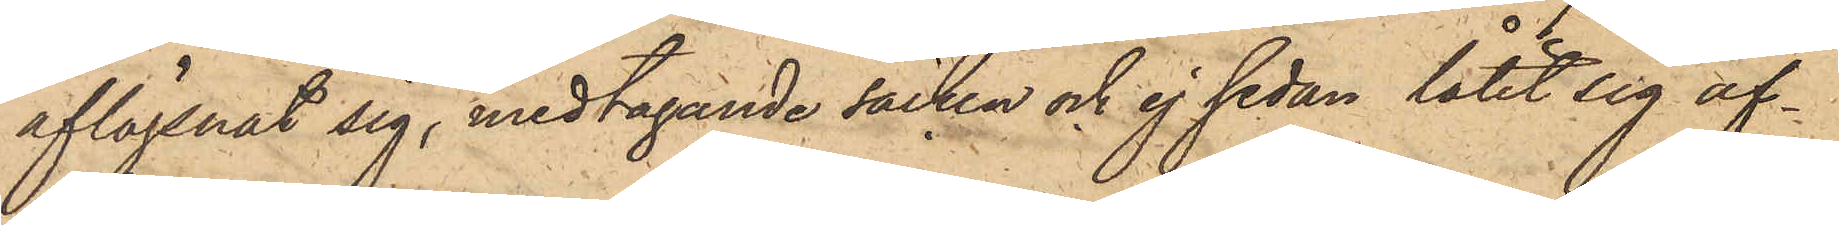aflägsnat sig, medtagande säcken och ej sedan låtit sig af¬
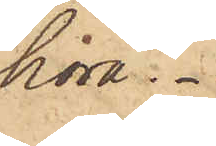höra.
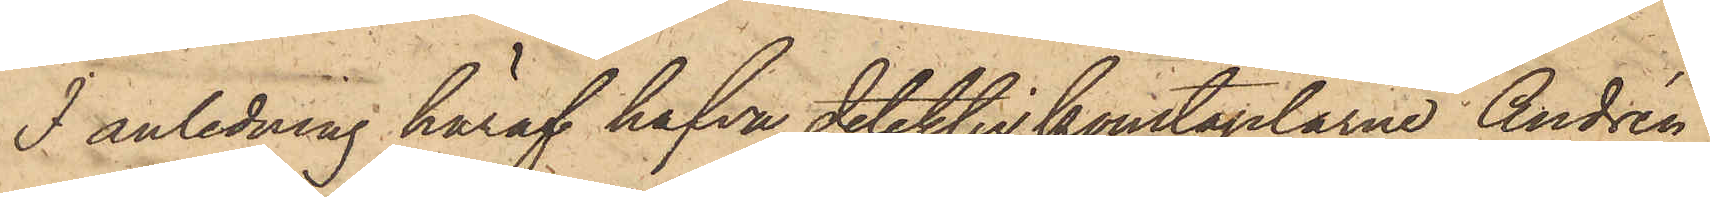I anledning häraf hafva detektivkonstaplarne Andrén
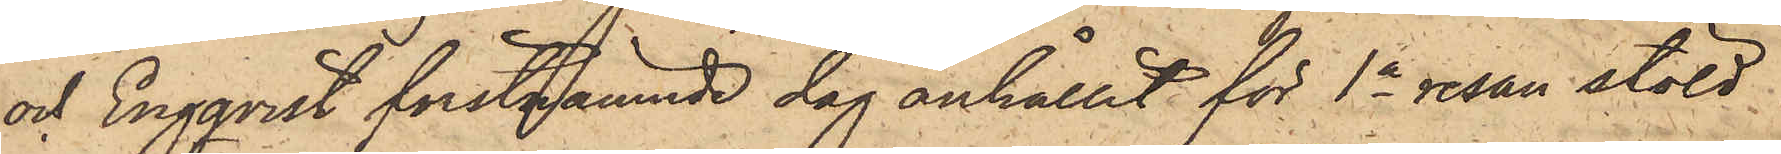och Engqvist förstnämnde dag anhållit för 1a resan stöld
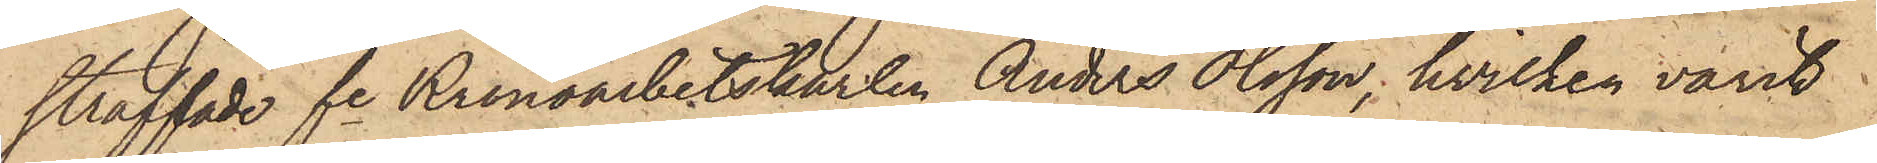straffade fre Kronoarbetskarlen Anders Olsson, hvilken varit
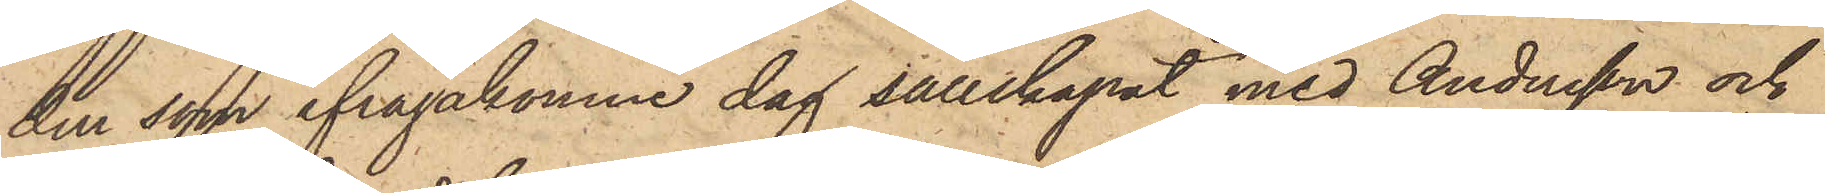den som ifrågakomne dag sällskapat med Andersson och
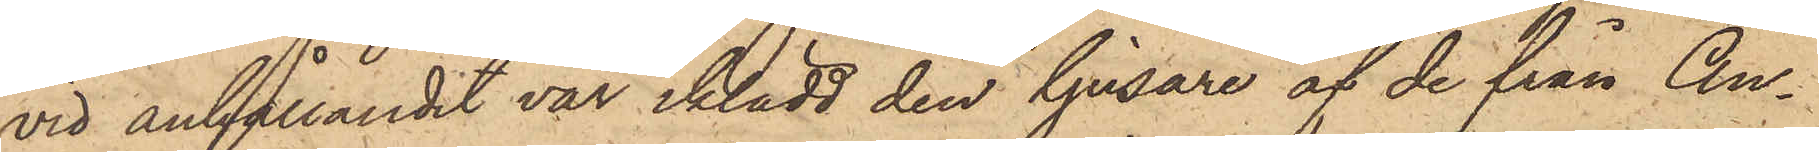vid anhållandet var iklädd den ljusare af de från An¬
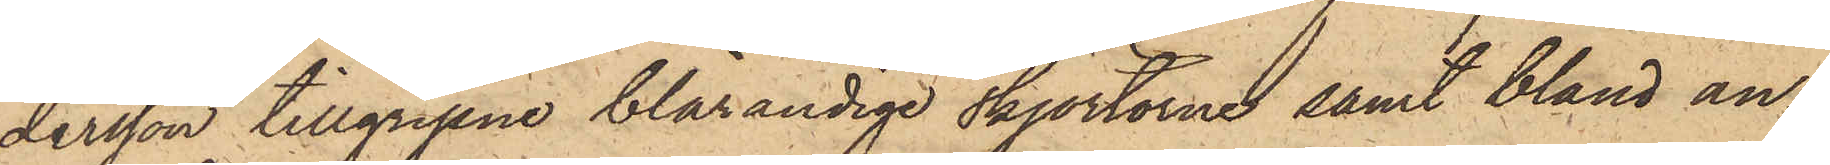dersson tillgripne blårandige skjortorne, samt bland an¬
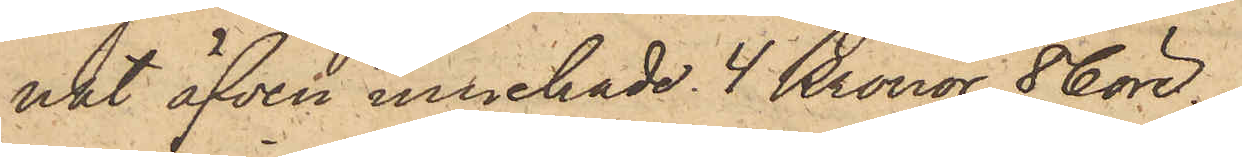nat äfven innehade 4 Kronor 86 öre.
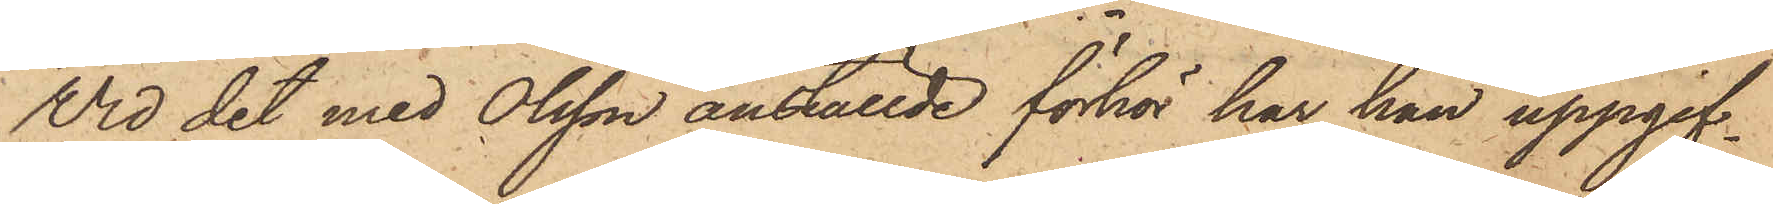Vid det med Olsson anställde förhör har han uppgif¬
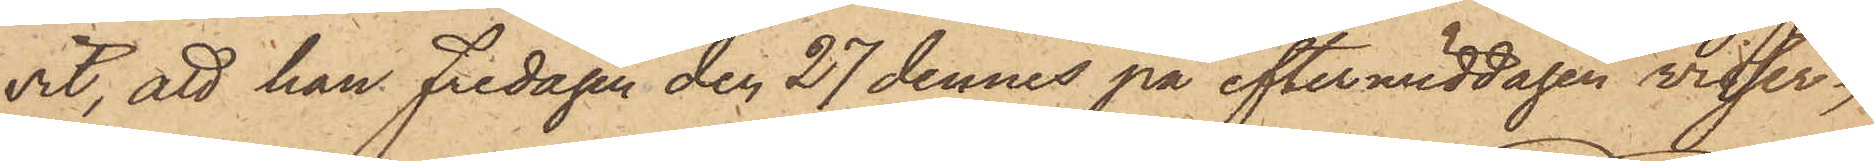vit, att han Fredagen den 27 dennes på eftermiddagen visser¬
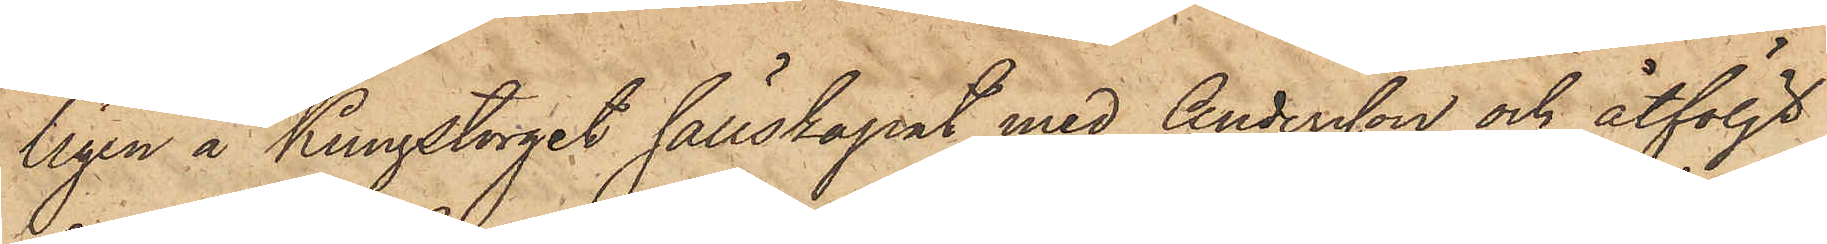ligen å Kungstorget sällskapat med Andersson och åtföljt
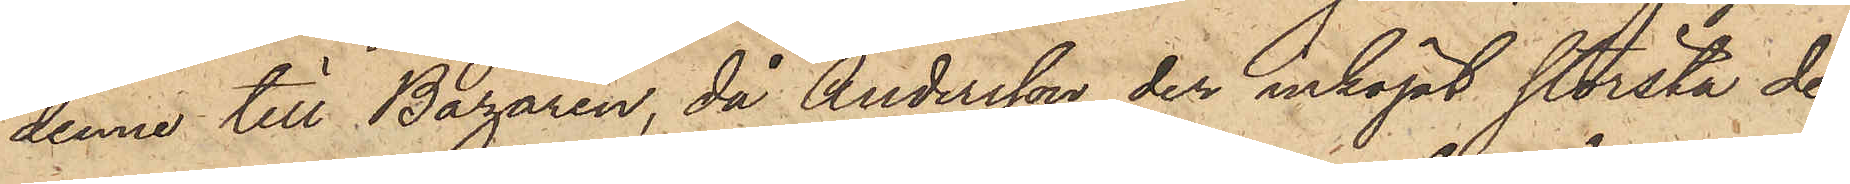denne till Bazaren, då Andersson der inköpt största de¬
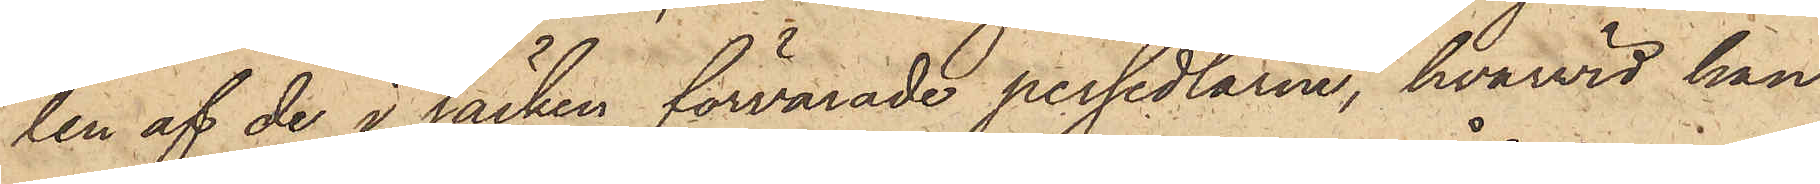len af de i säcken förvarade persedlarne, hvarvid han
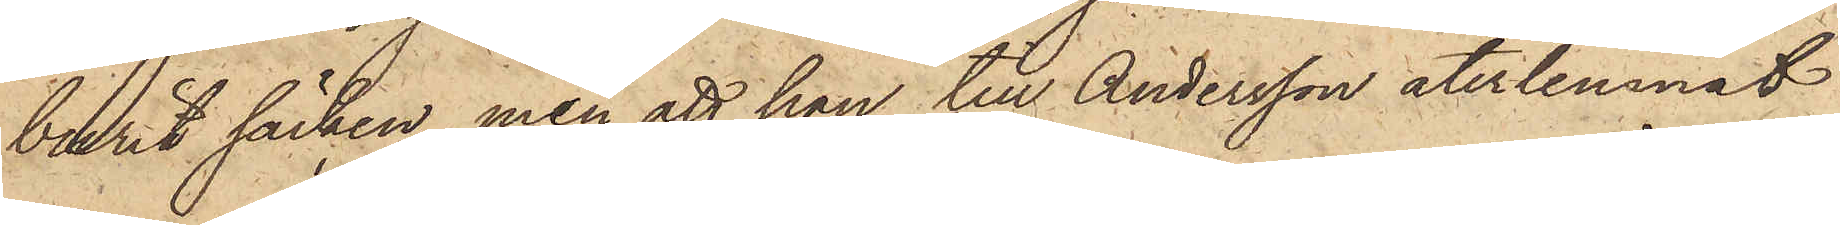burit säcken, men att han till Andersson återlemnat
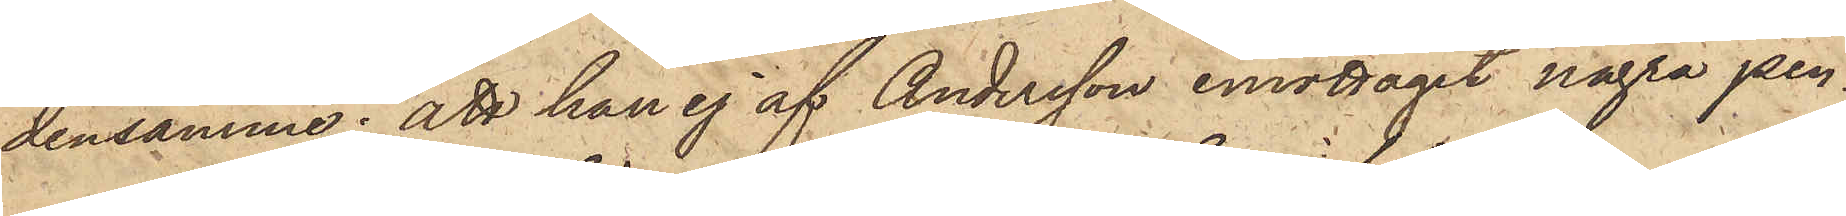densamme; att han ej af Andersson emottagit några pen¬
